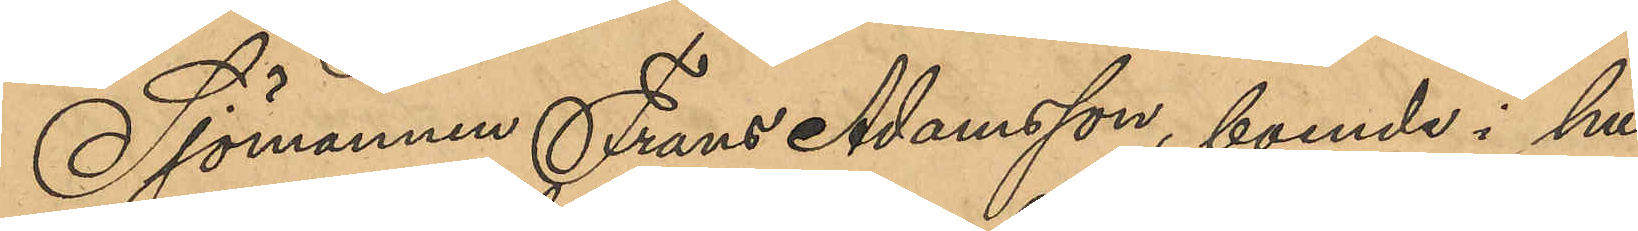Sjömannen Frans Adamsson, boende i hu¬
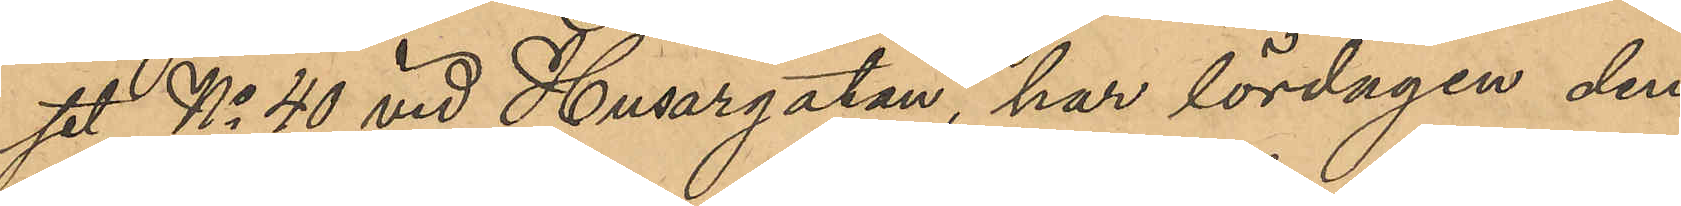set No 40 vid Husargatan, har lördagen den
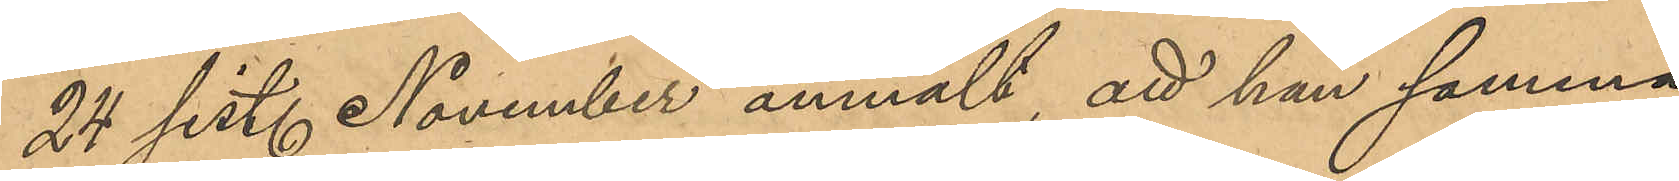24 sist. November anmält, att han samma
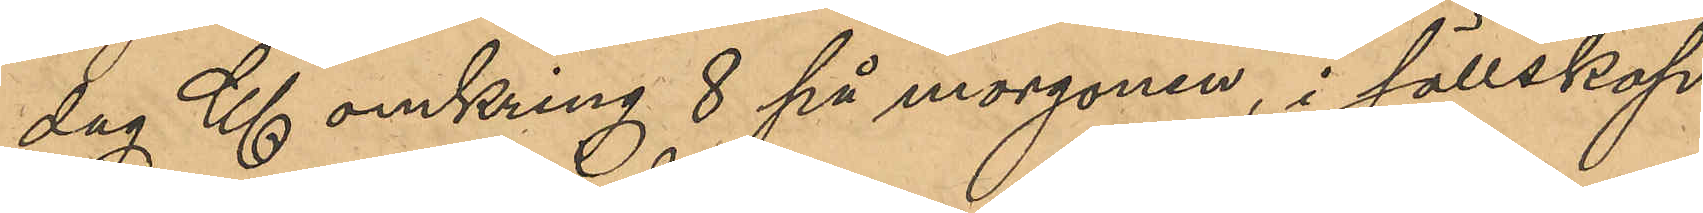dag Kl omkring 8 på morgonen, i sällskap
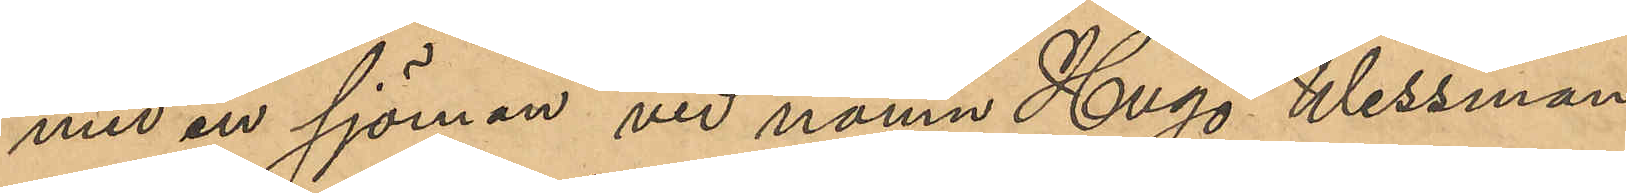med en sjöman vid namn Hugo Wessman
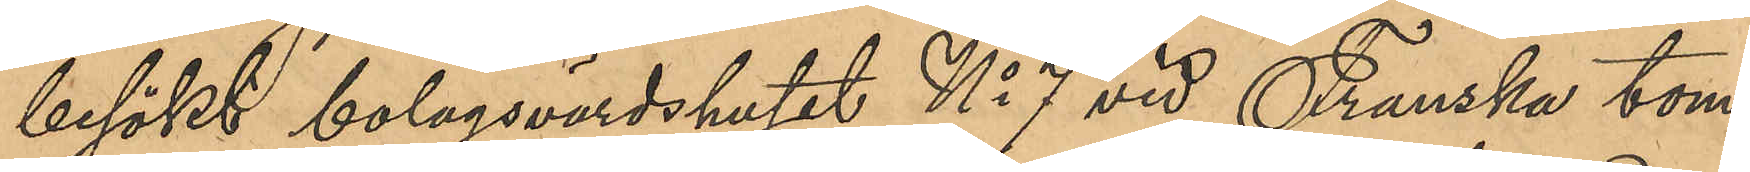besökt bolagsvärdshuset No 7 vid Franska tom¬
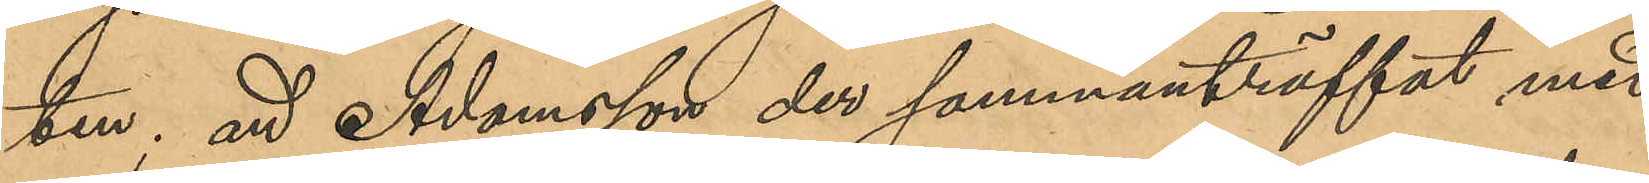ten; att Adamsson der sammanträffat med
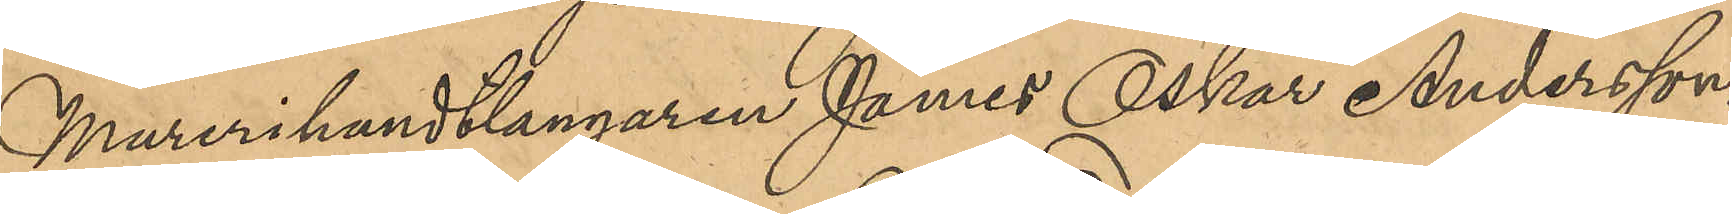Murerihantlangaren James Oskar Andersson,
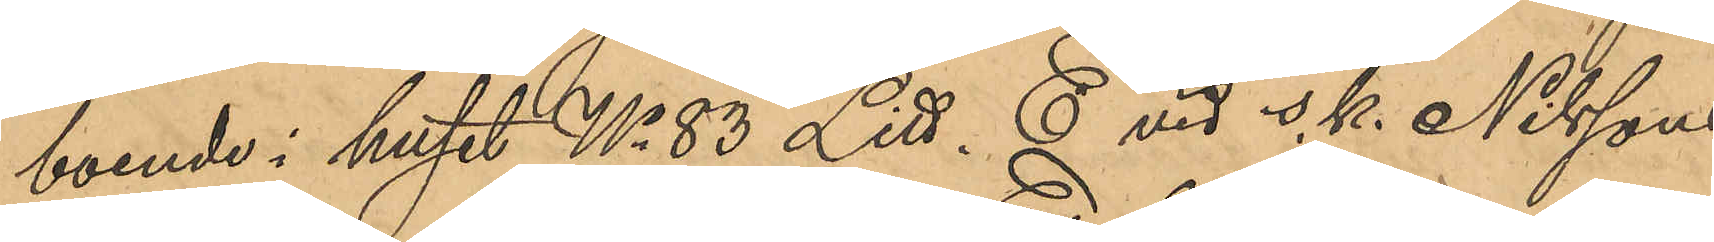boende i huset No 83 Litt. E vid s.k. Nilssons
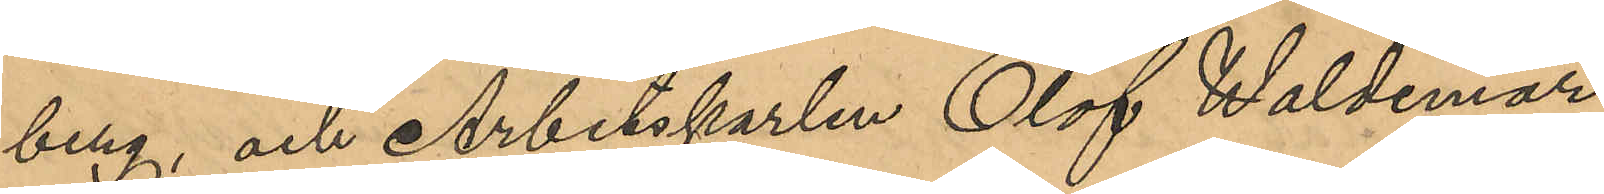berg, och Arbetskarlen Elof Waldemar
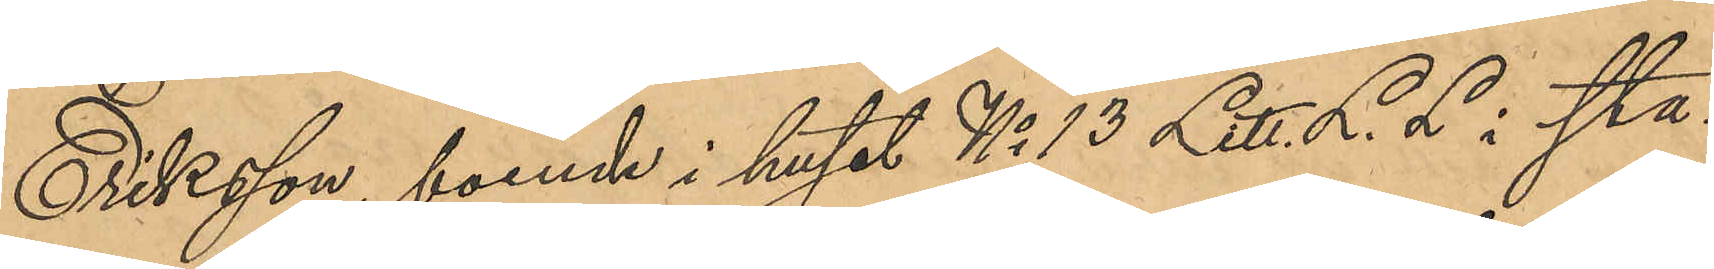Eriksson, boende i huset No 13 Litt. L.L i sta¬
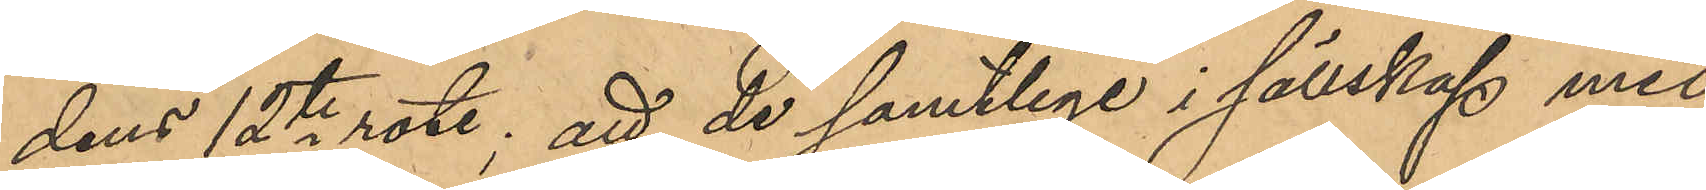dens 12te rote; att de samtlige i sällskap med
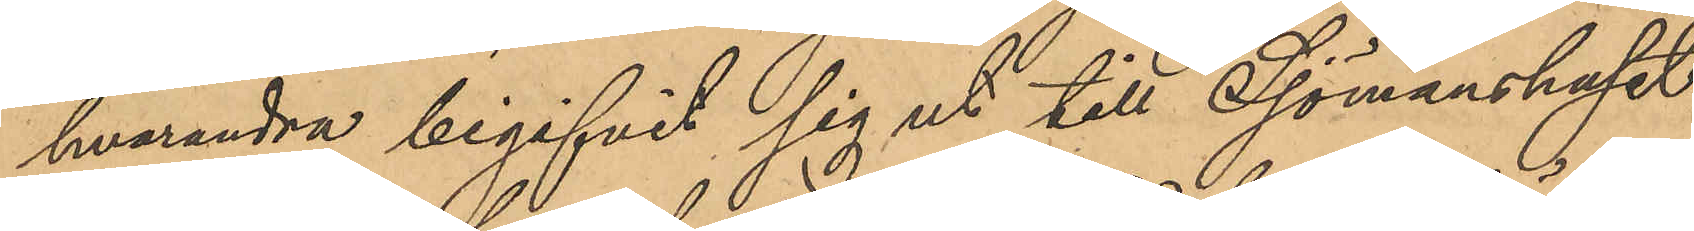hvarandra begifvit sig ut till Sjömanshuset,
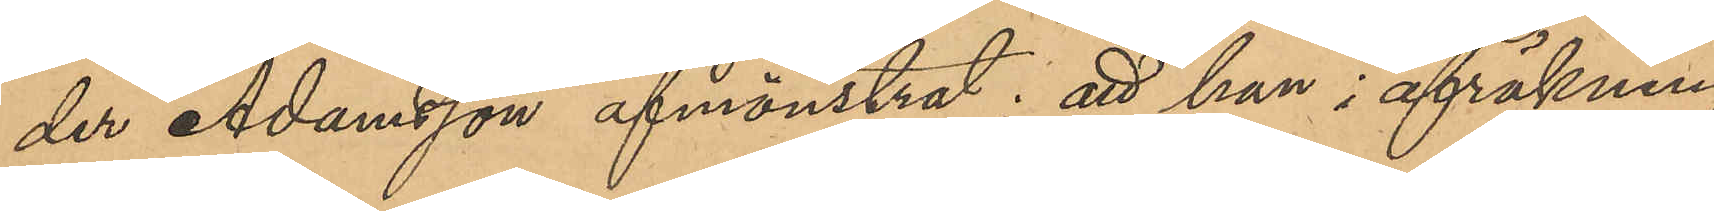der Adamsson afmönstrat; att han i afräkning
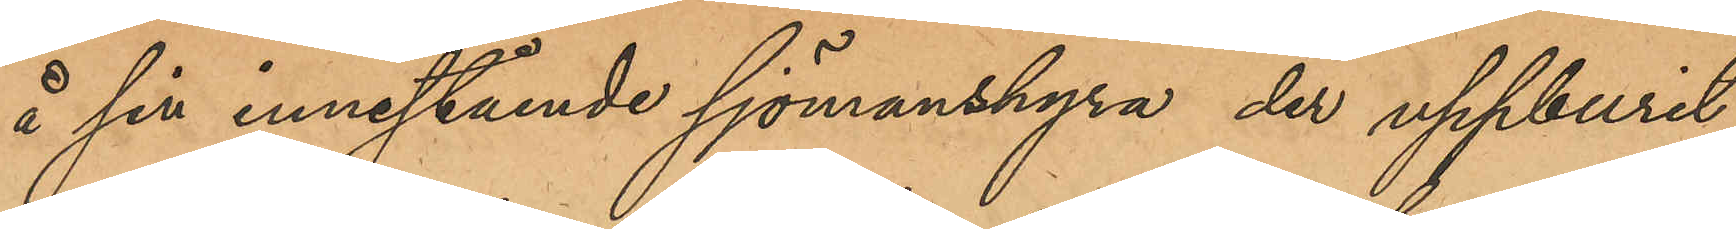å sin innestående sjömanshyra der uppburit
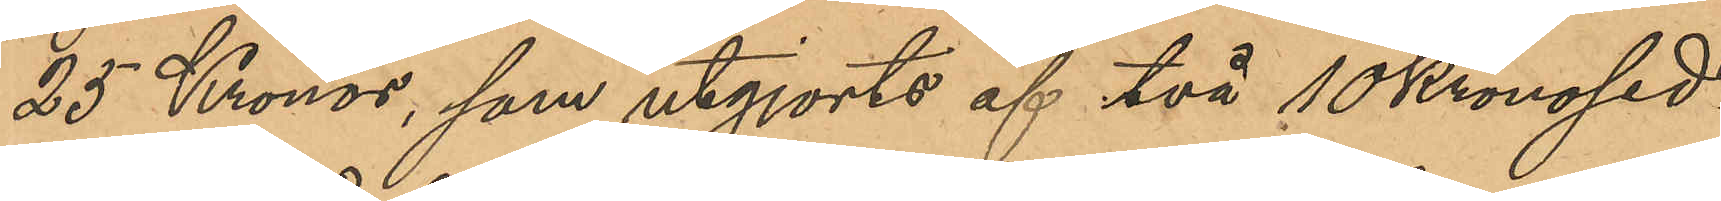25 Kronor, som utgjorts af två 10 kronosed¬
